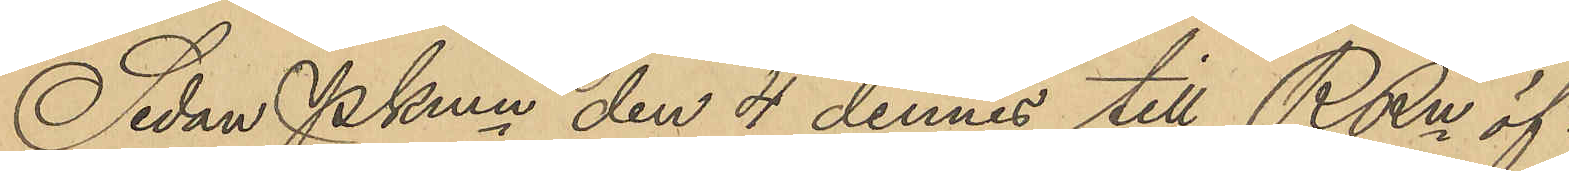Sedan PKmn den 4 dennes till RRn öf¬
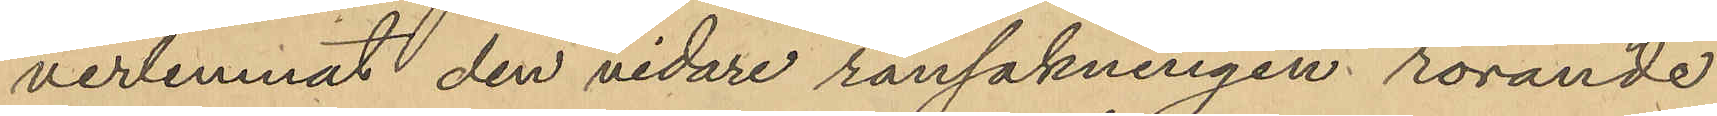verlemnat den vidare ransakningen rörande
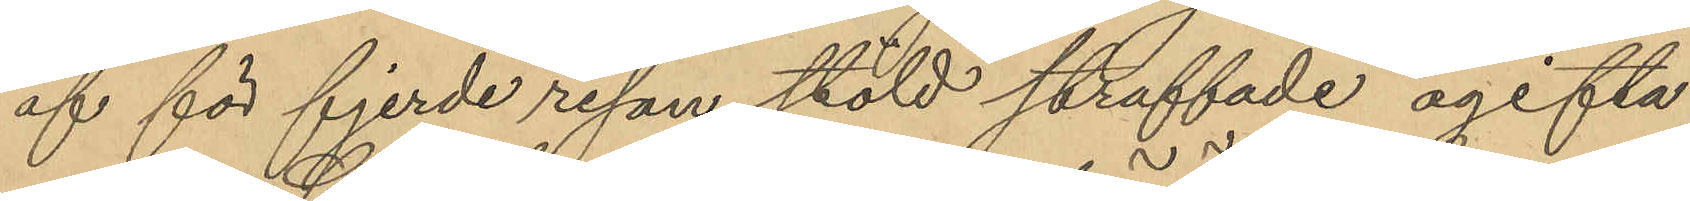af för fjerde resan stöld straffade ogifta
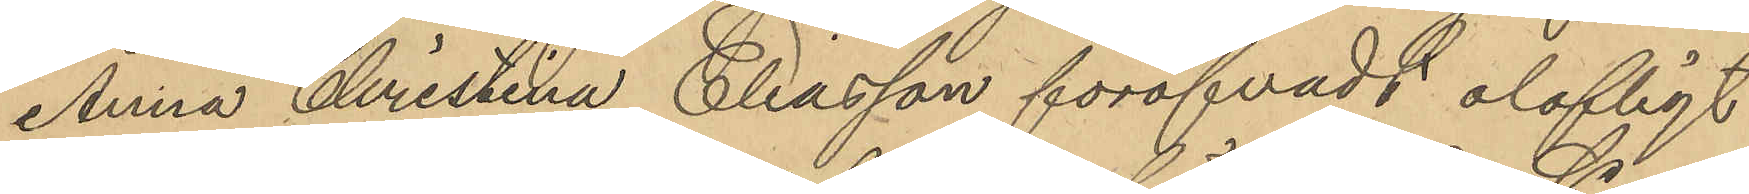Anna Cristina Eliasson föröfvadt olofligt
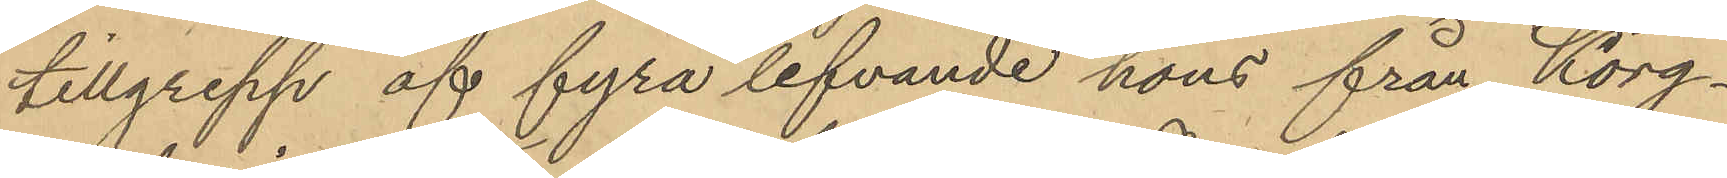tillgrepp af fyra lefvande höns från Korg¬
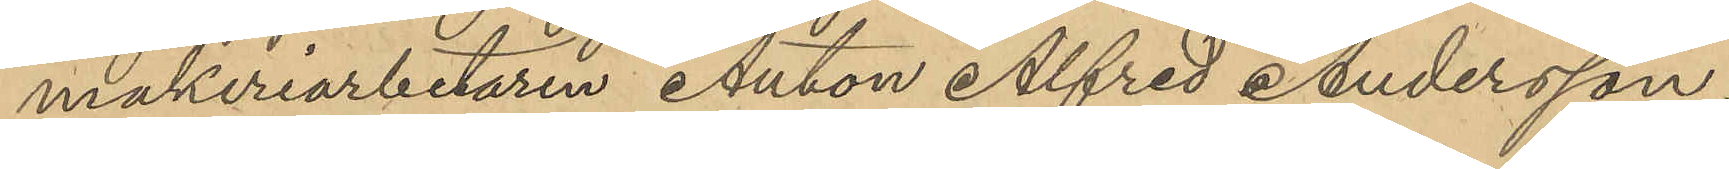makeriarbetaren Anton Alfred Andersson,
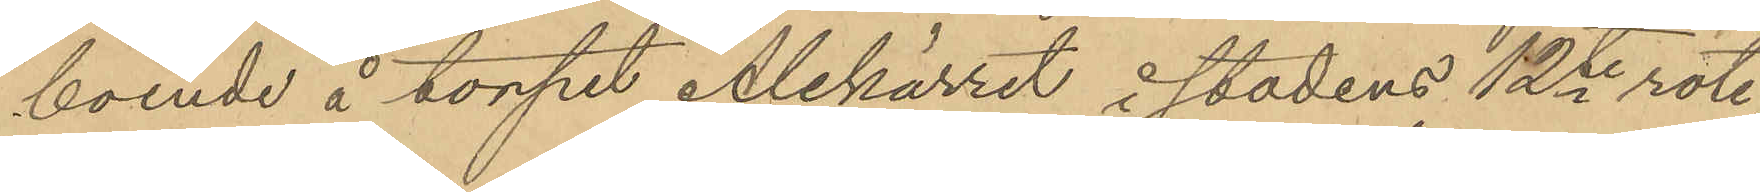boende å torpet Alekärret i stadens 12te rote
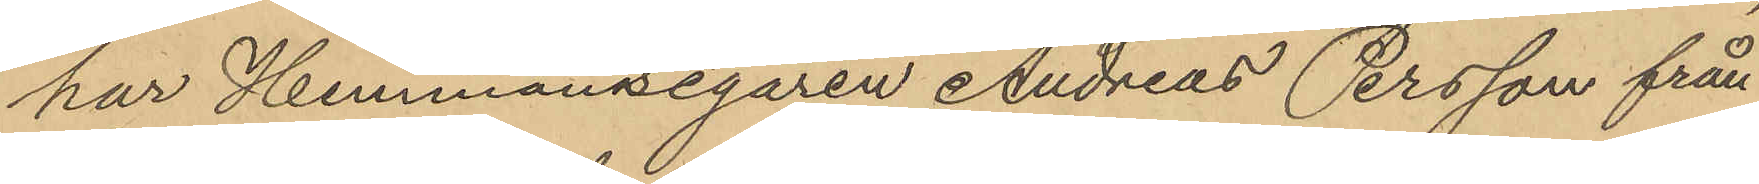har Hemmansegaren Andreas Persson från
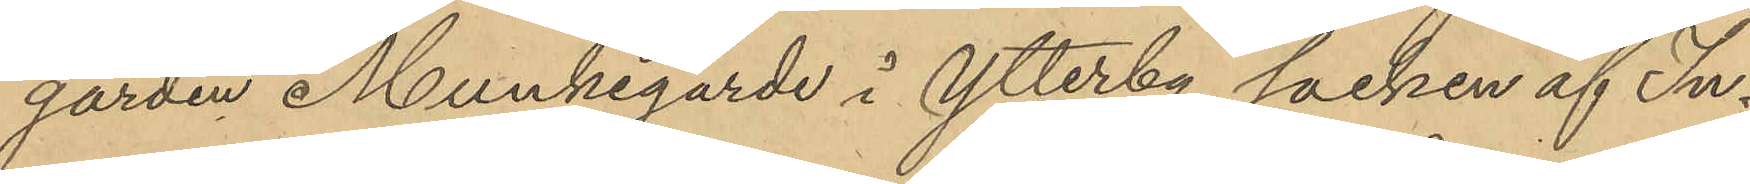gården Munkegärde i Ytterby socken af In¬
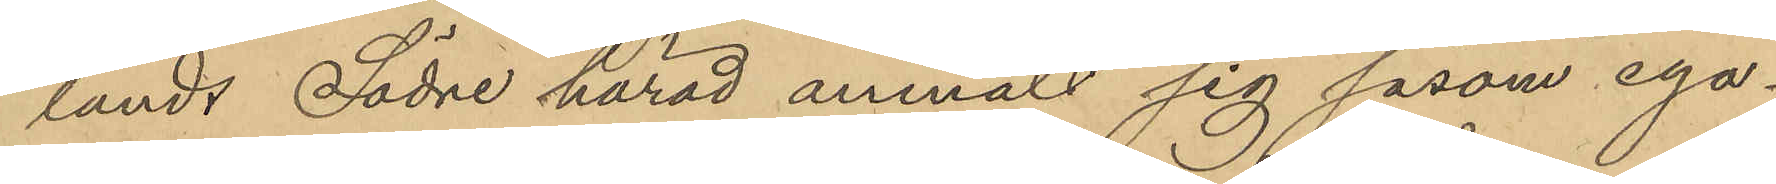lands Södre härad anmält sig såsom ega¬
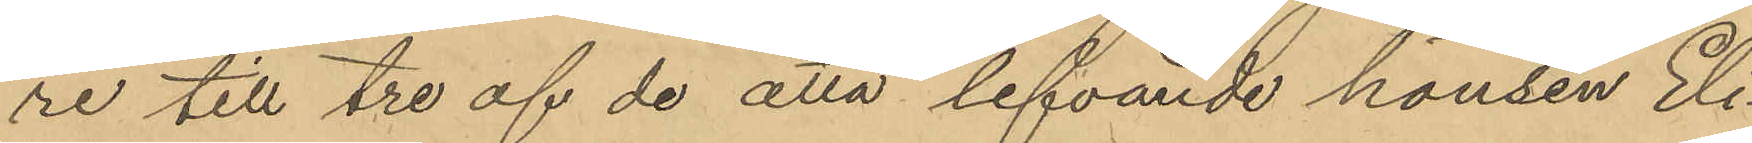re till tre af de åtta lefvande hönsen Eli¬
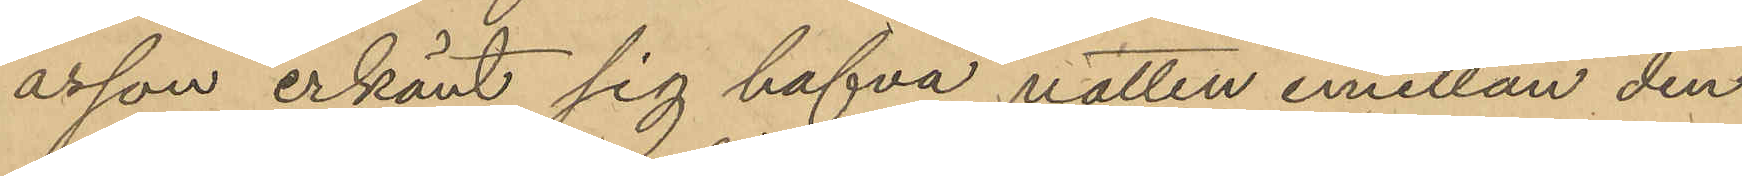asson erkänt sig hafva natten emellan den
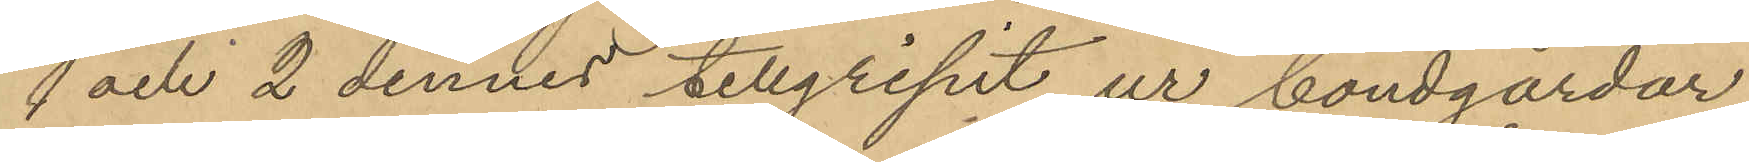1 och 2 dennes tillgripit ur bondgårdar
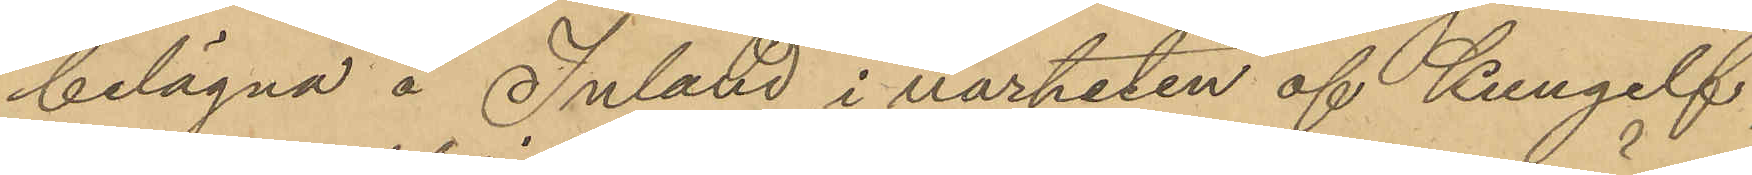belägna å Inland i närheten af Kungelf,
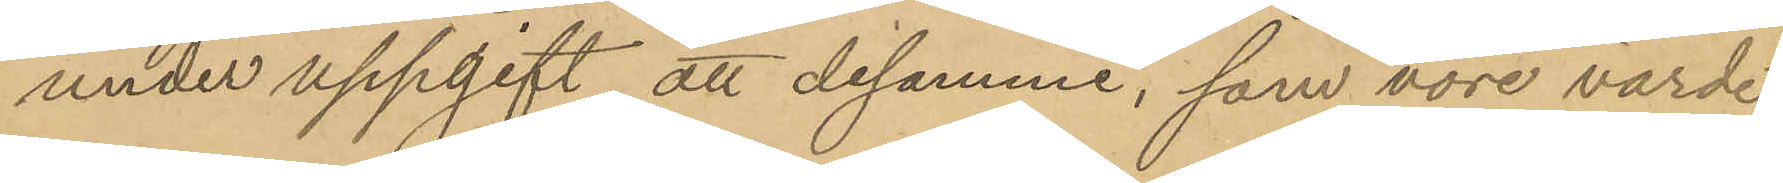under uppgift, att desamme; som vore värde
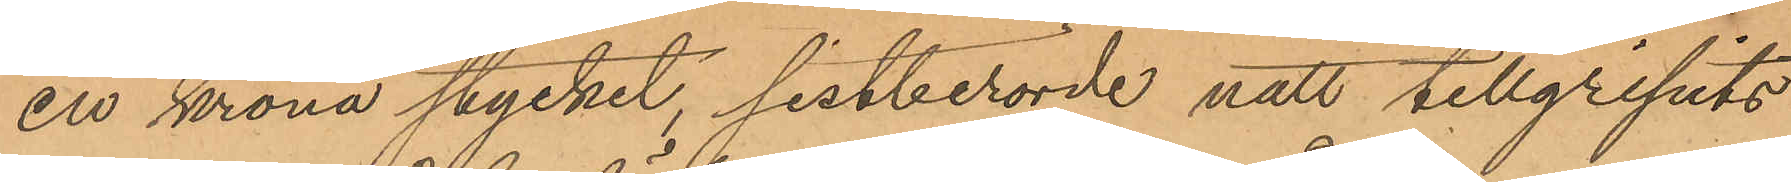en krona stycket, sistberörde natt tillgripits
